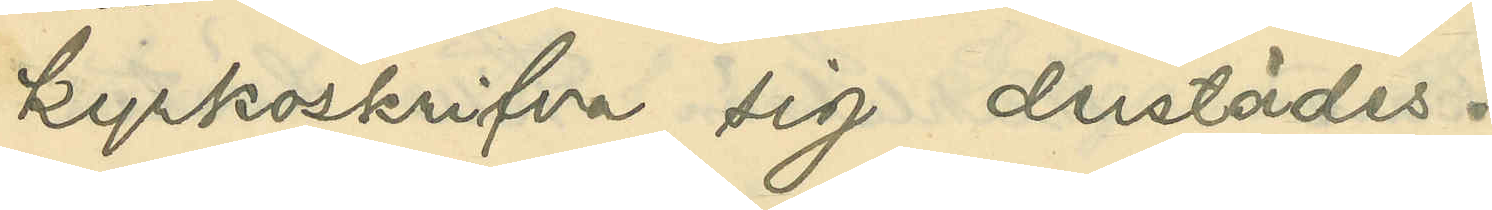kyrkoskrifva sig derstädes.
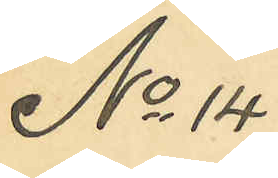No 14
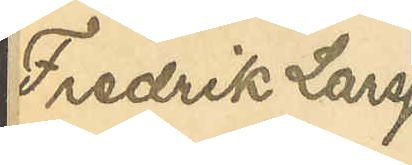Fredrik Larsson
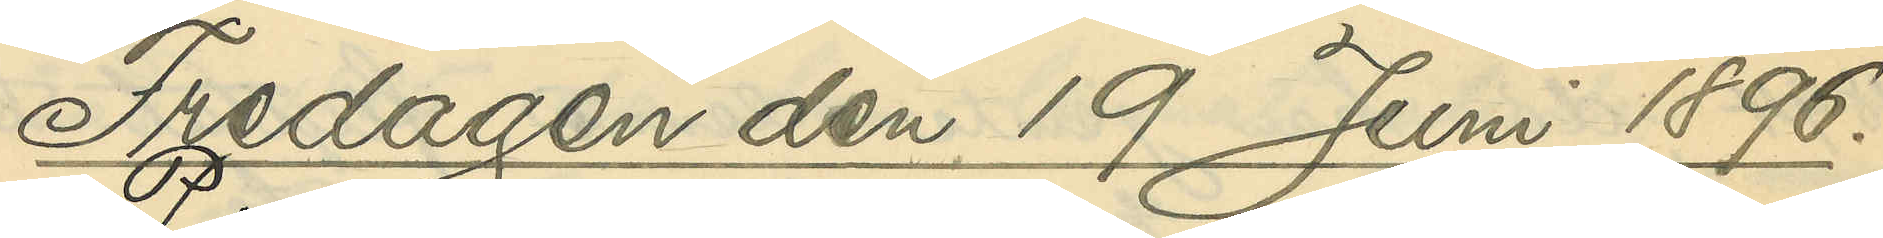Fredagen den 19 Juni 1896.
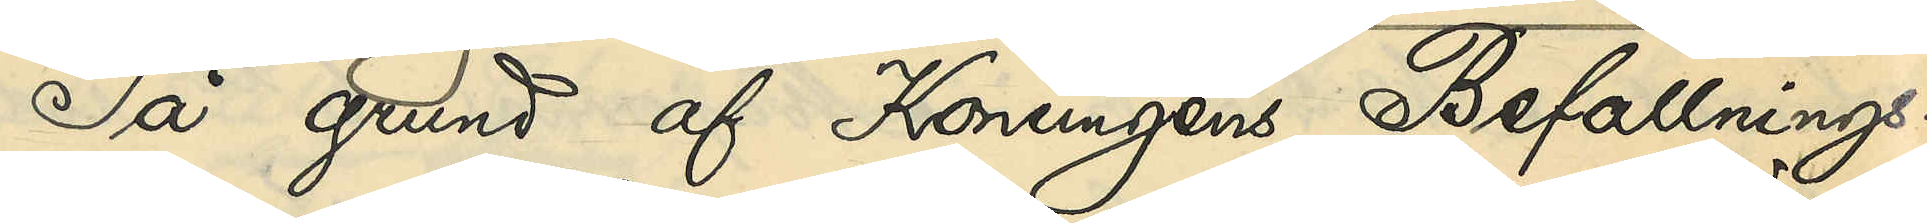På grund af Konungens Befallnings¬
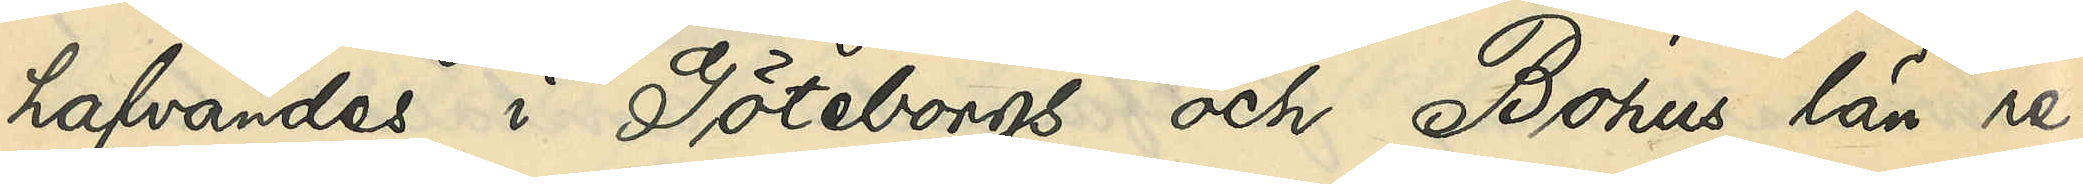hafvandes i Göteborgs och Bohus län re¬
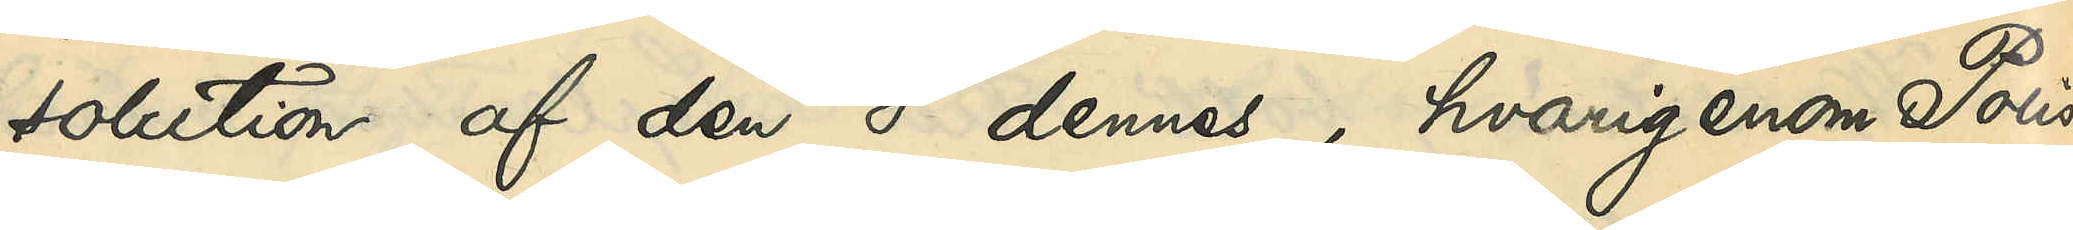solution af den 8 dennes, hvarigenom Polis¬
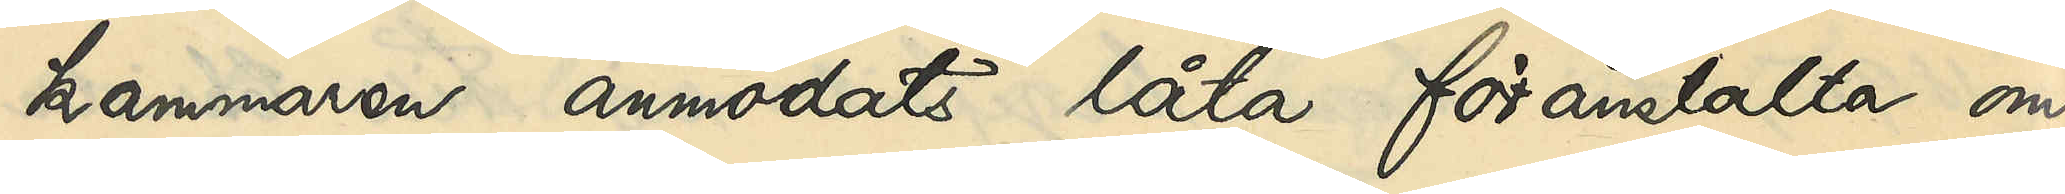kammaren anmodats låta föranstalta om
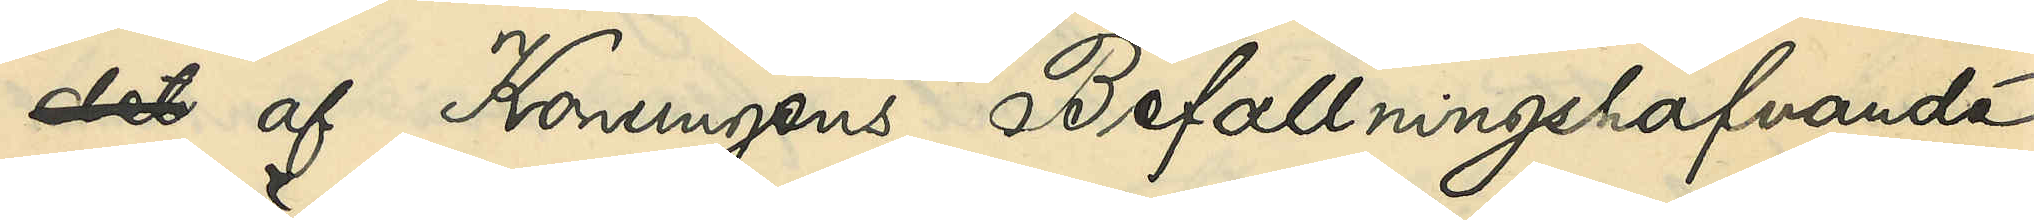det af Konungens Befallningshafvande
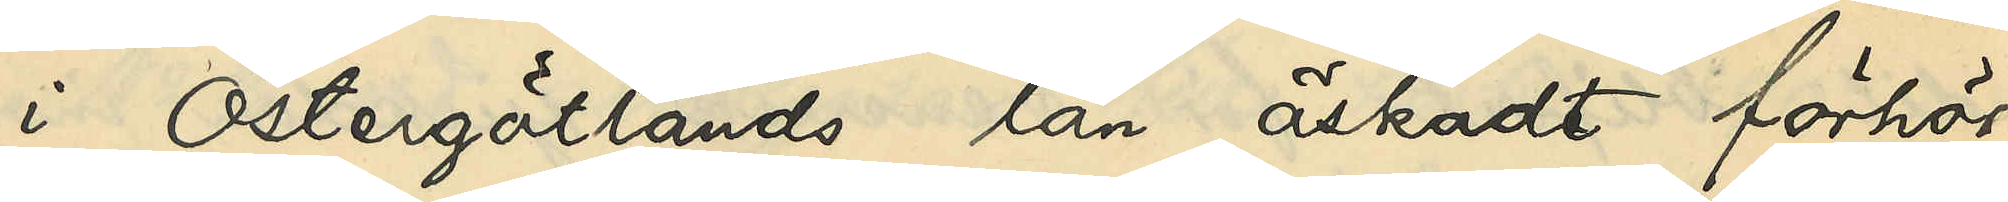i Östergötlands län äskadt förhör
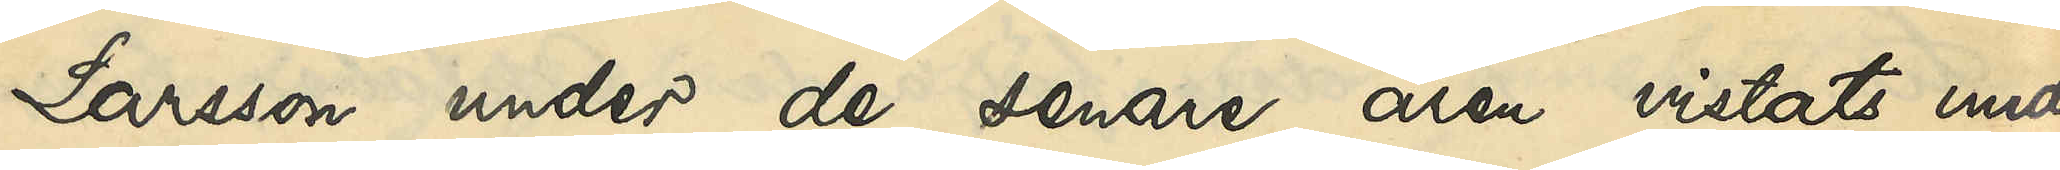Larsson under de senare åren vistats under
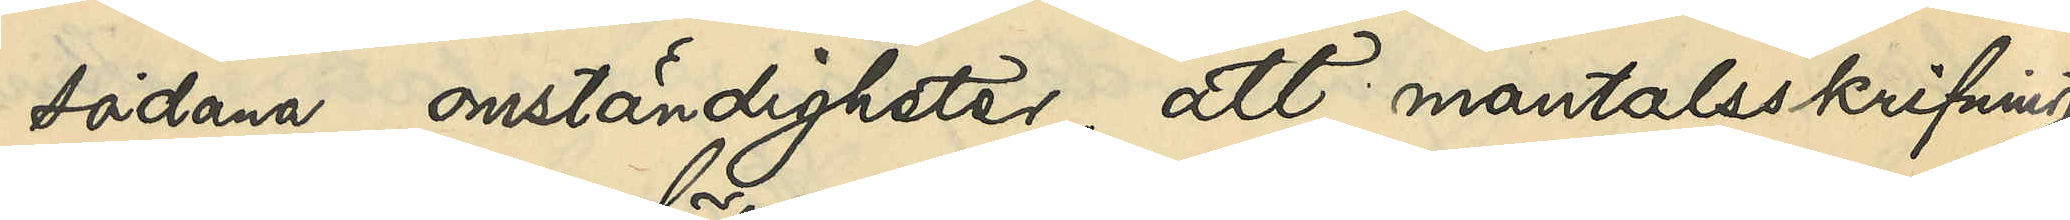sådana omständigheter, att mantalsskrifning
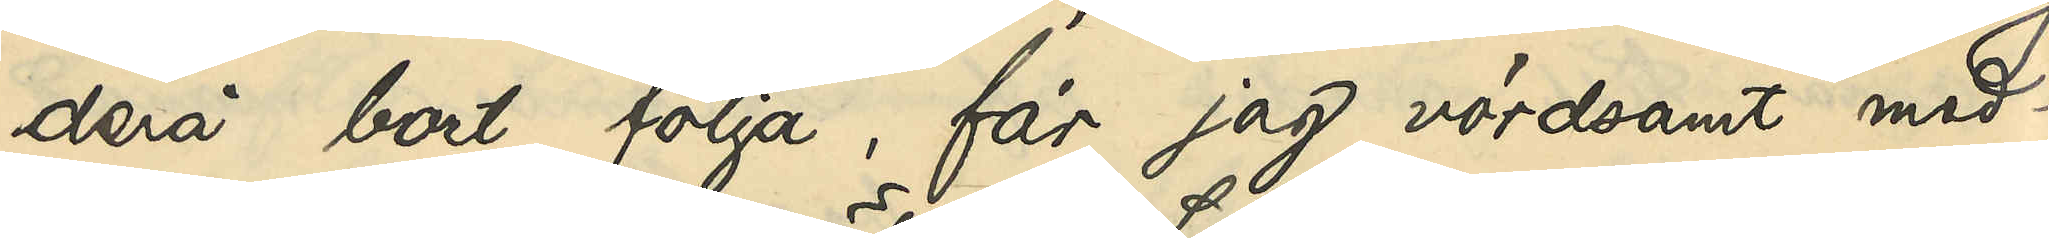derå bort följa, får jag vördsamt med¬
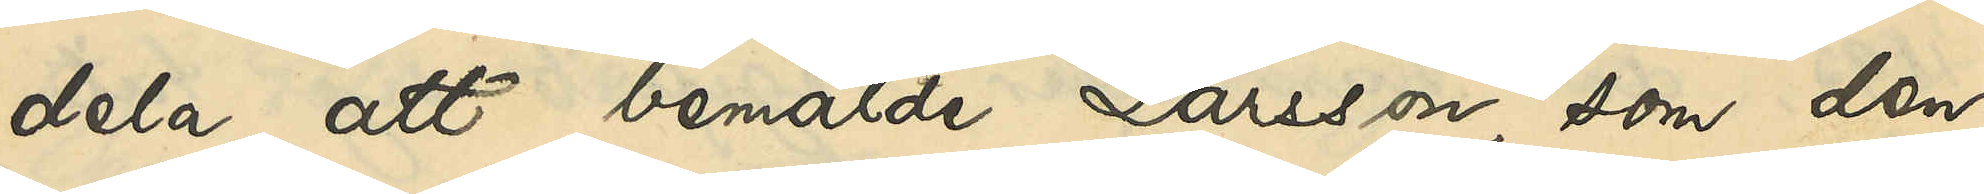dela, att bemälde Larsson, som den
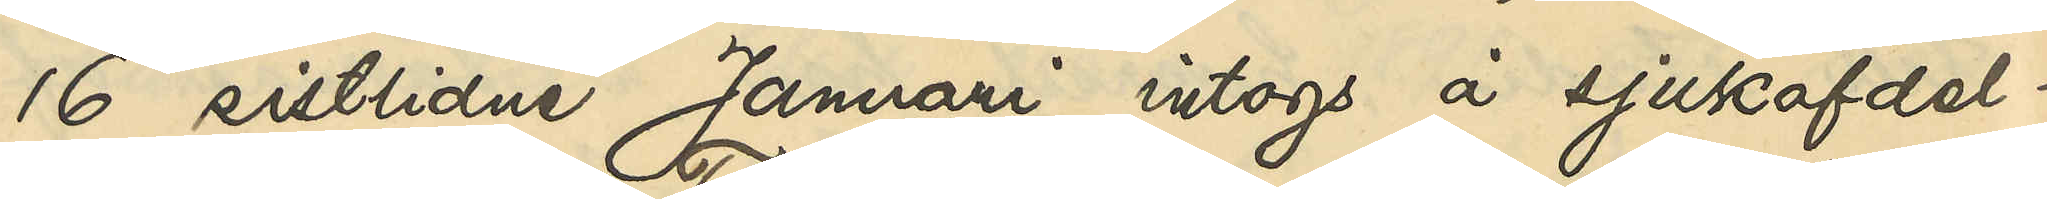16 sistlidne Januari intogs å sjukafdel¬
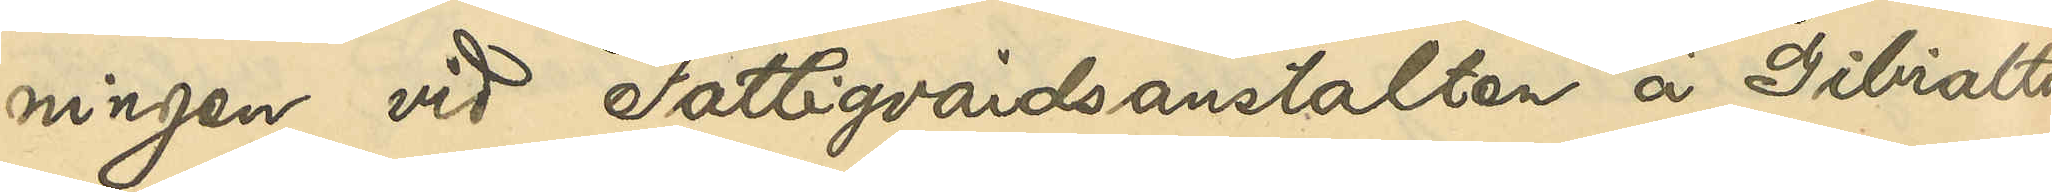ningen vid Fattigvårdsanstalten å Gibraltar
